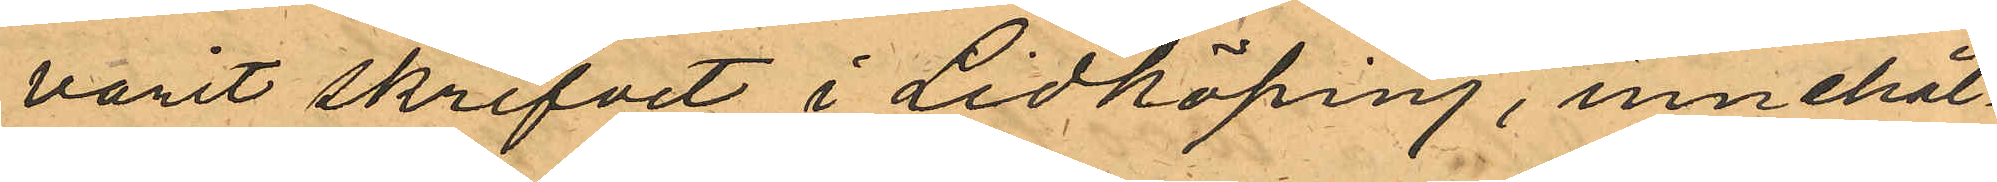varit skrifvet i Lidköping, innehål¬
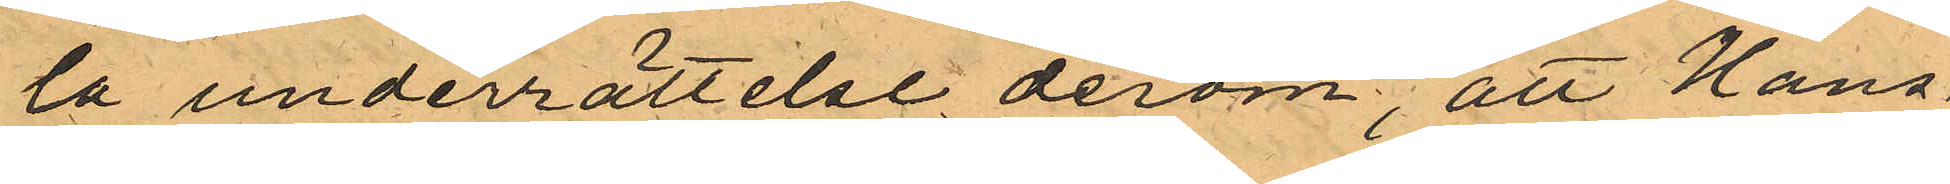ta underrättelse derom; att Hans¬
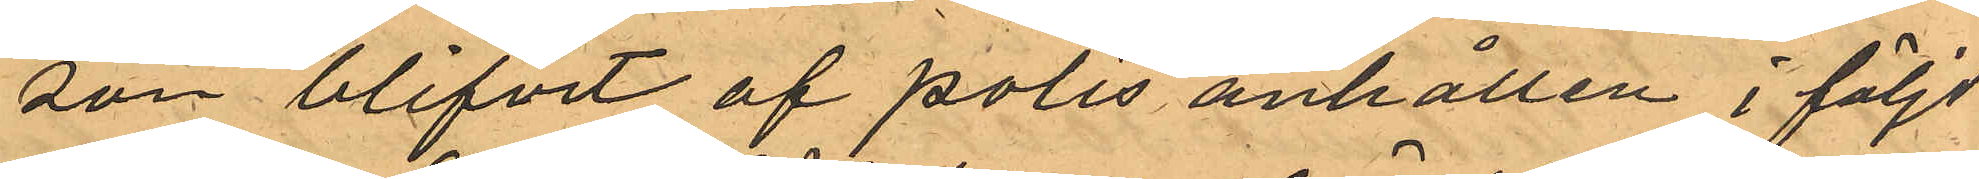son blifvit af polis anhållen i följd
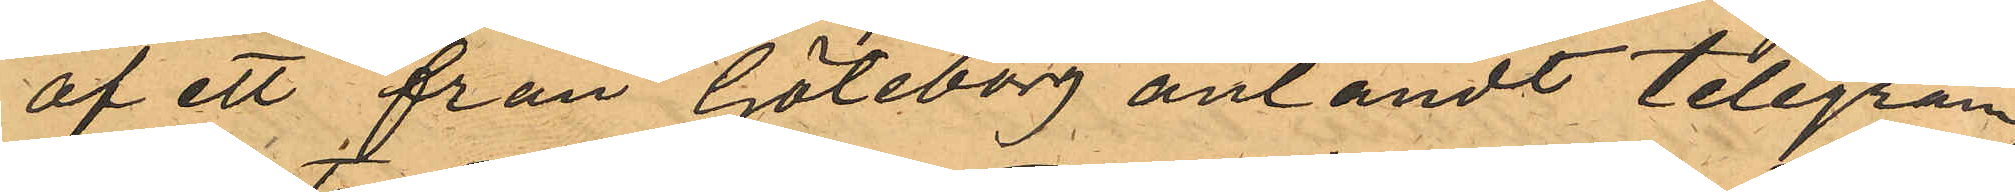af ett från Göteborg anländt telegram,
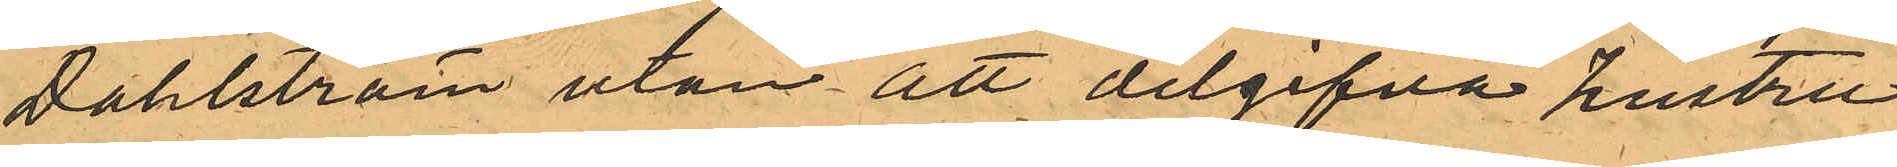Dahlström utan att delgifva hustru
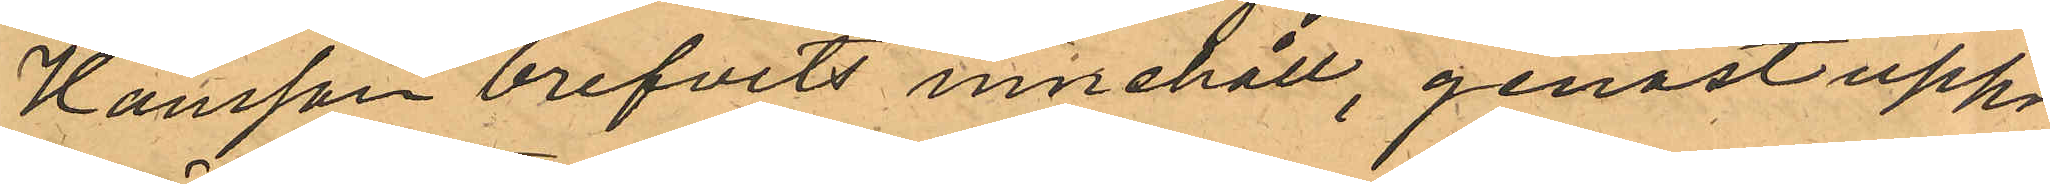Hansson brefvets innehåll, genast upp¬
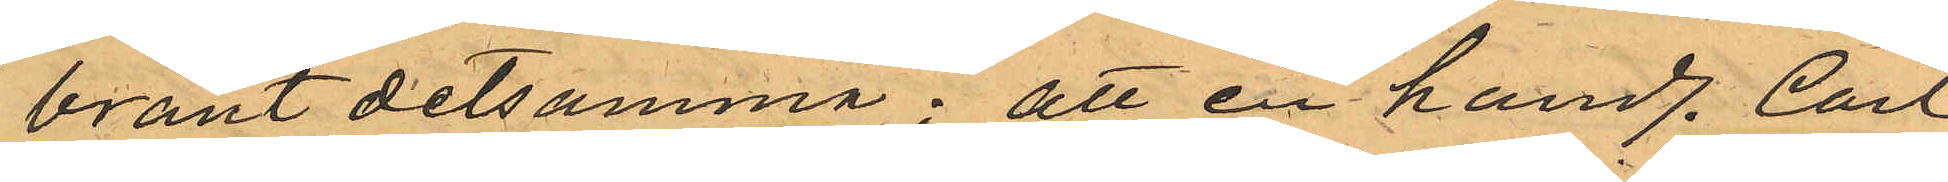bränt detsamma; att en handl. Carl
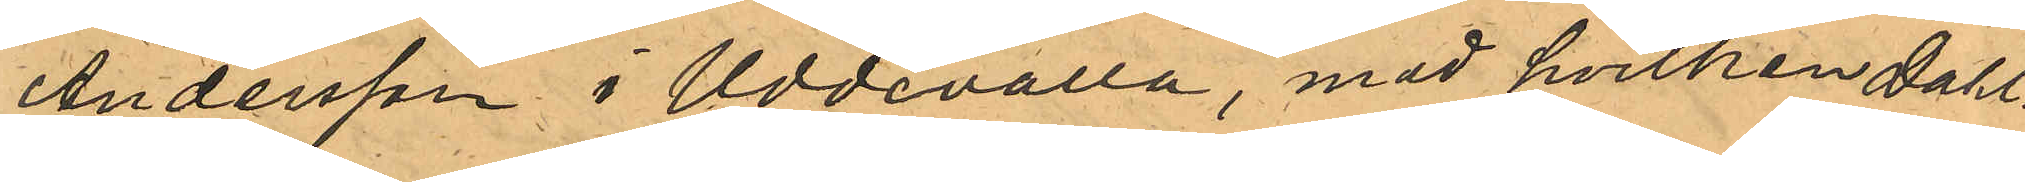Andersson i Uddevalla, med hvilken Dahl¬
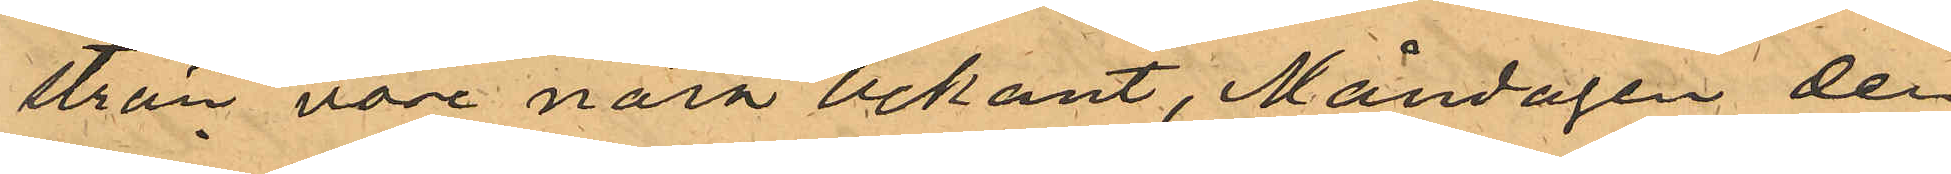ström vore nära bekant, Måndagen den
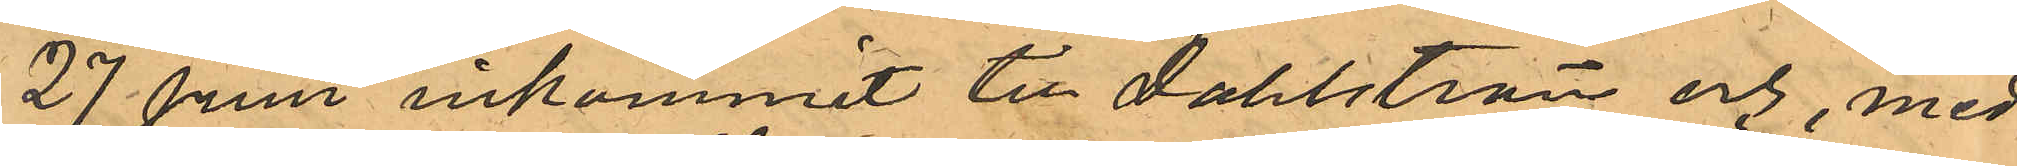27 Juni inkommit till Dahlström och, med
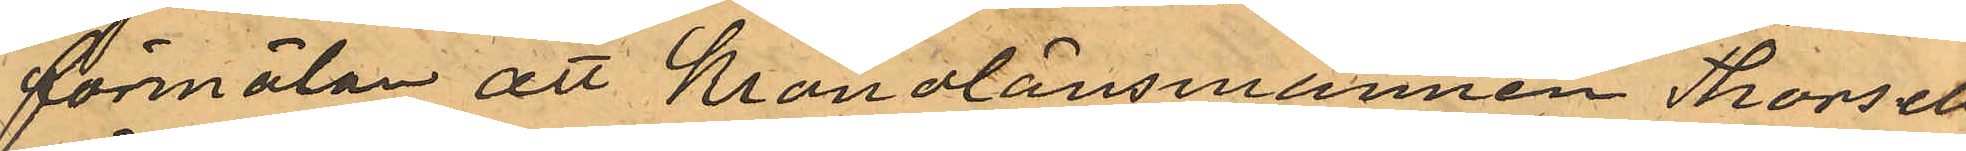förmälan att Kronolänsmannen Thorsell
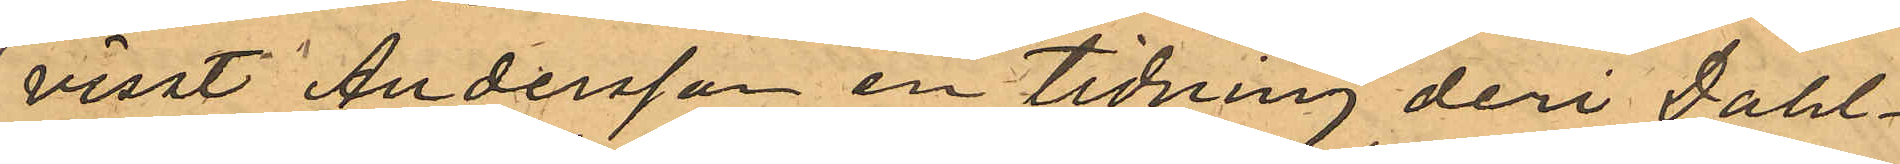visst Andersson en tidning deri Dahl¬
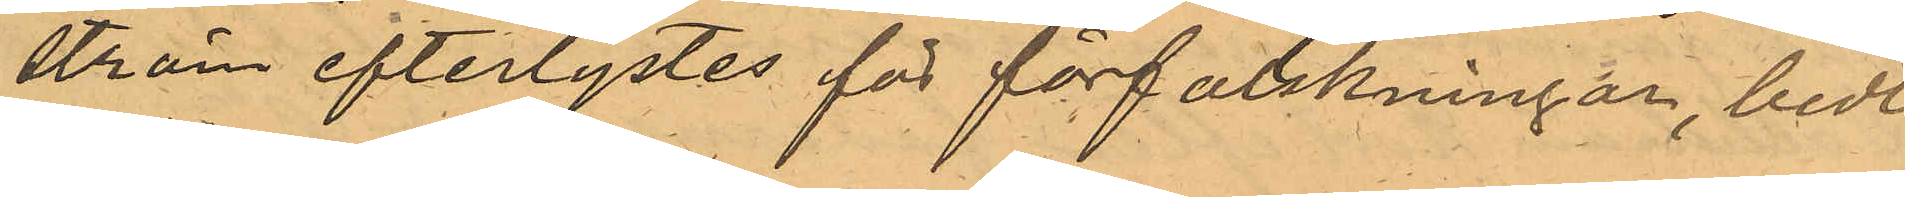ström efterlystes för förfalskningar, bedt
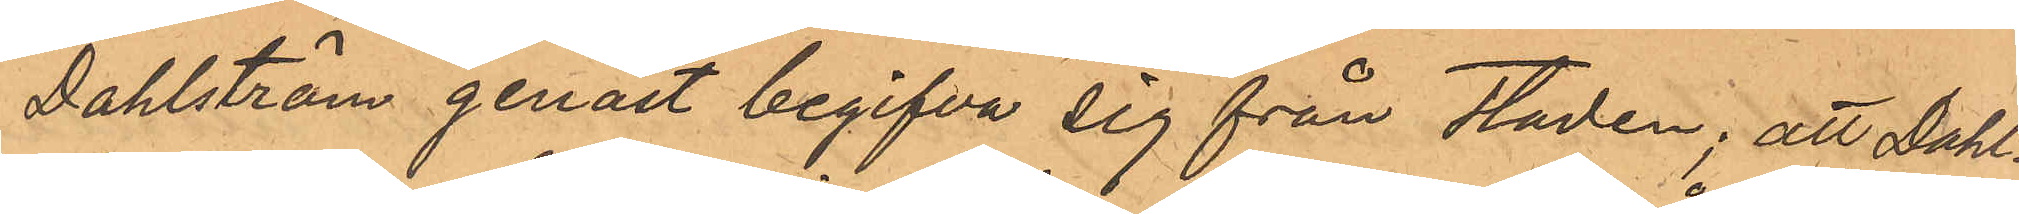Dahlström genast begifva sig från staden; att Dahl¬
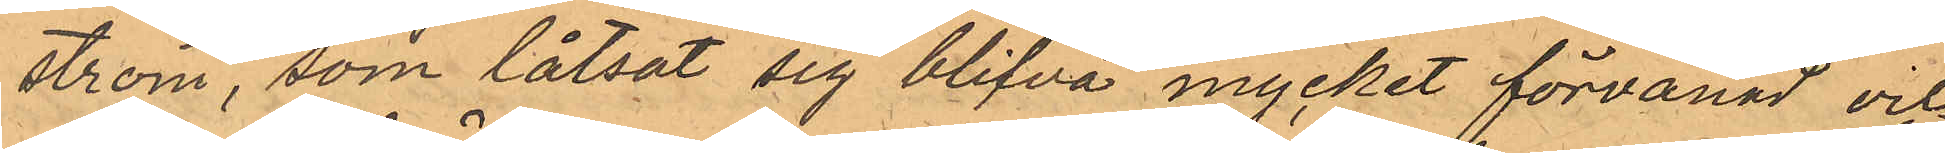ström som låtsat sig blifva mycket förvånad och
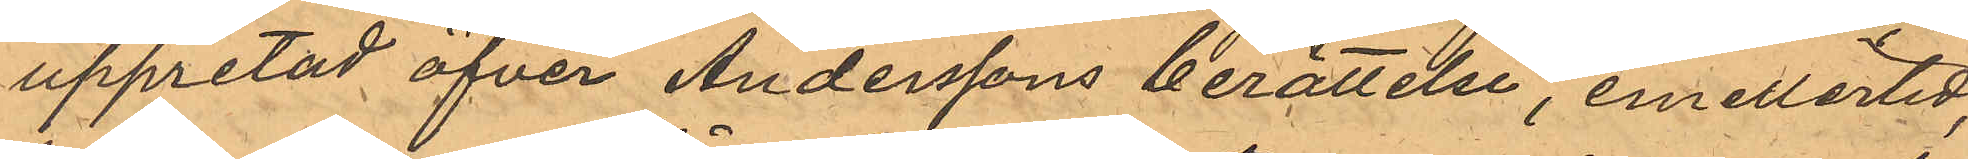uppretad öfver Anderssons berättelse, emellertid,
